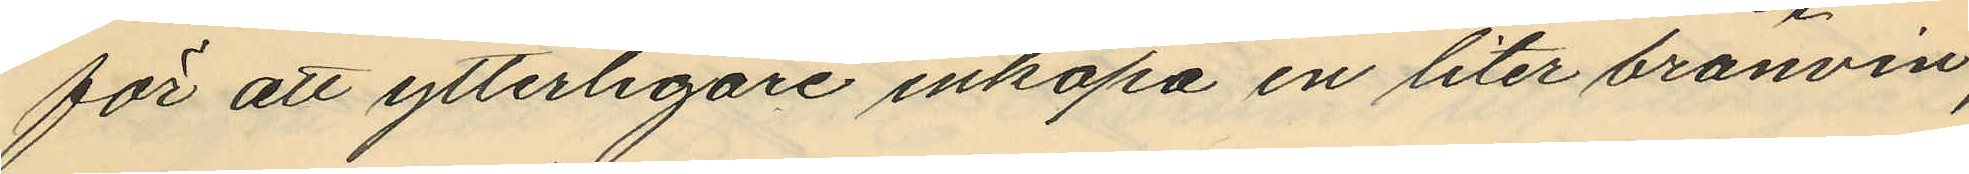för att ytterligare inköpa en liter bränvin;
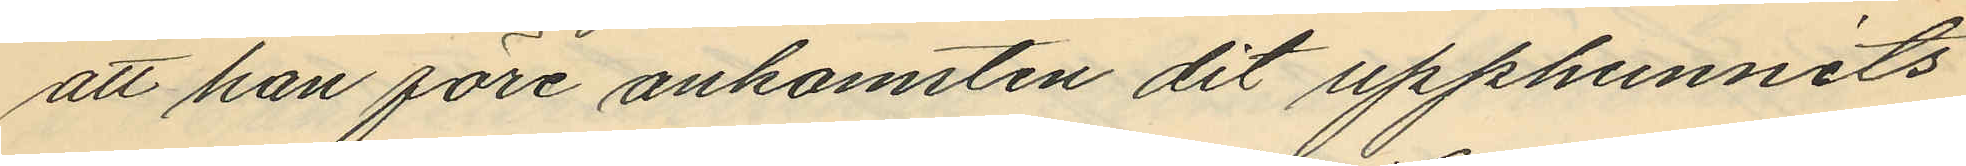att han före ankomsten dit upphunnits
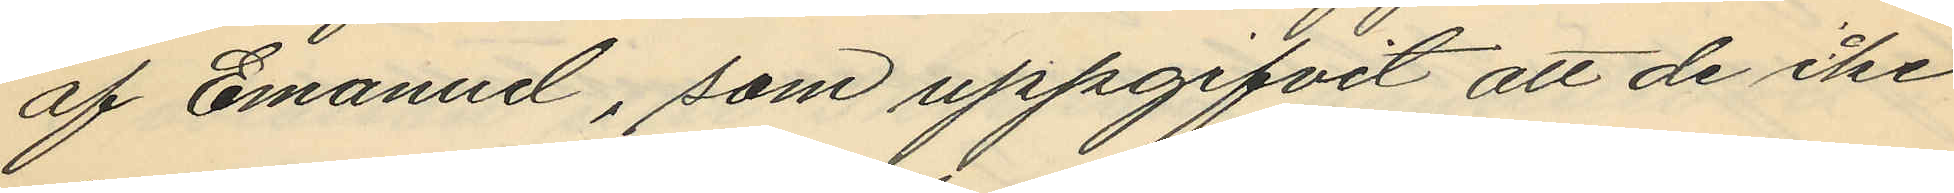af Emanuel, som uppgifvit att de ike
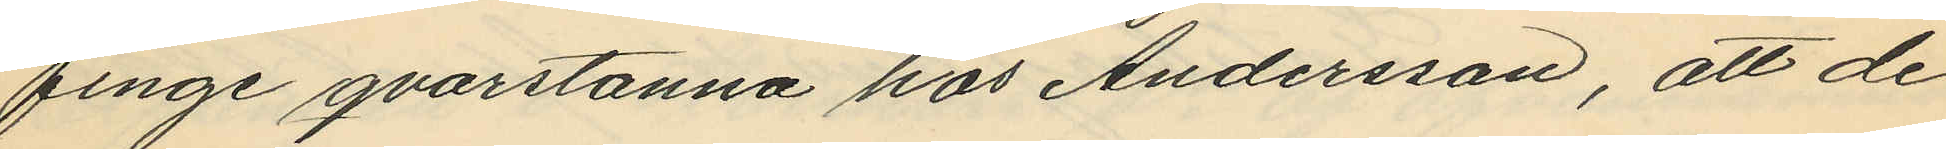finge qvarstanna hos Andersson, att de
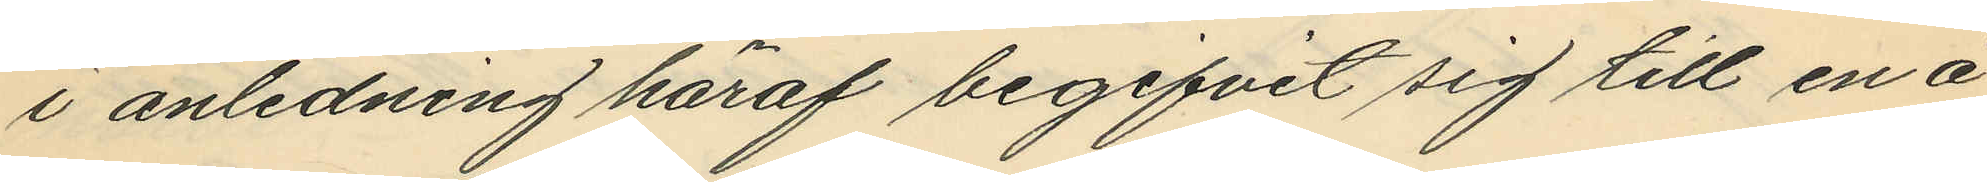i anledning häraf begifvit sig till en å
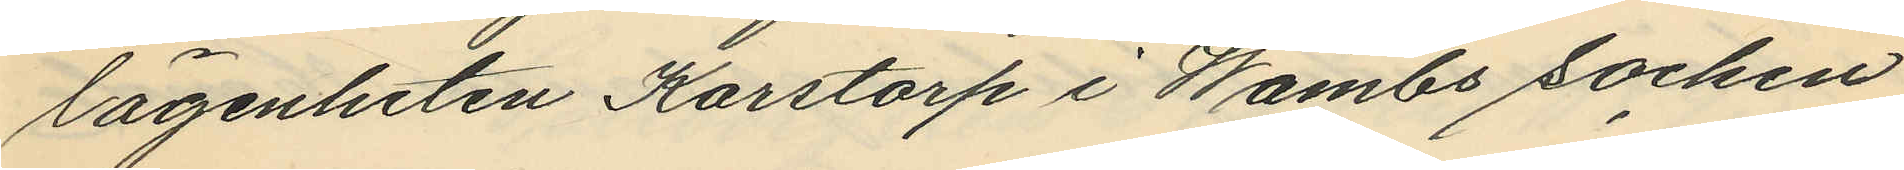lägenheten Karstorp i Wåmbs socken
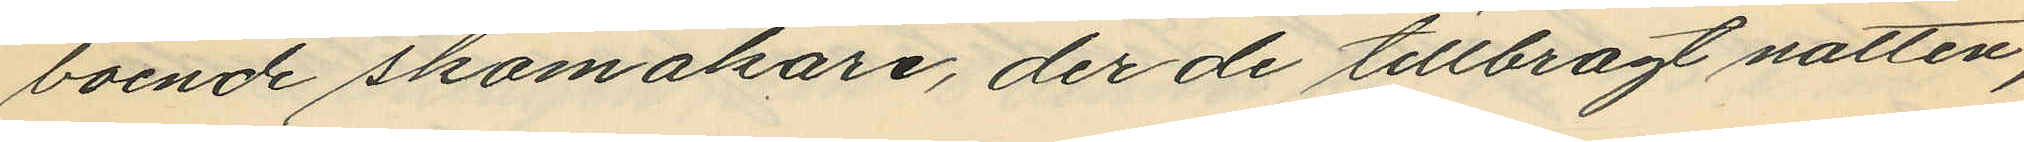boende skomakare, der de tillbragt natten,
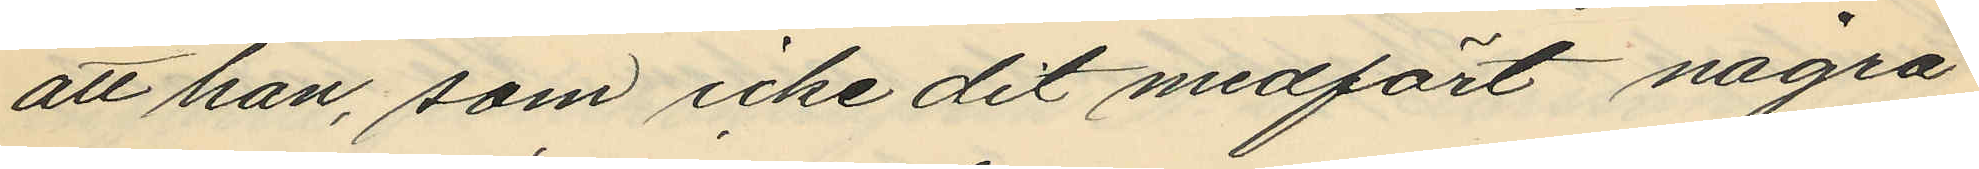att han, som icke dit medfört några
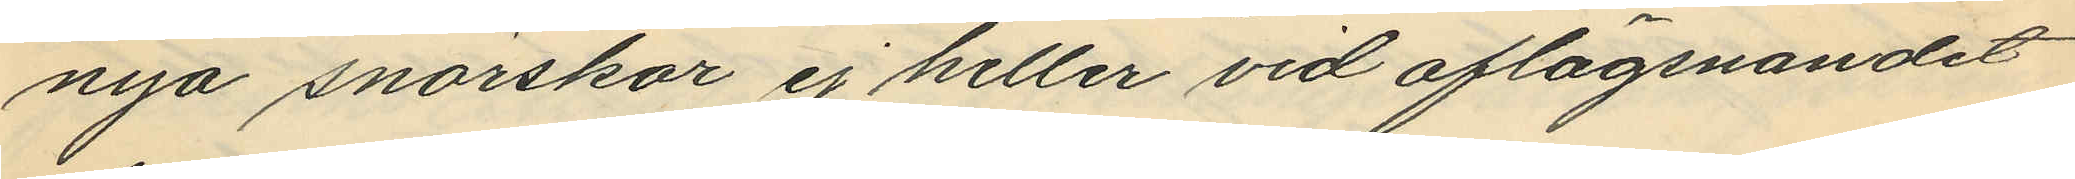nya snörskor ej heller vid aflägsnandet
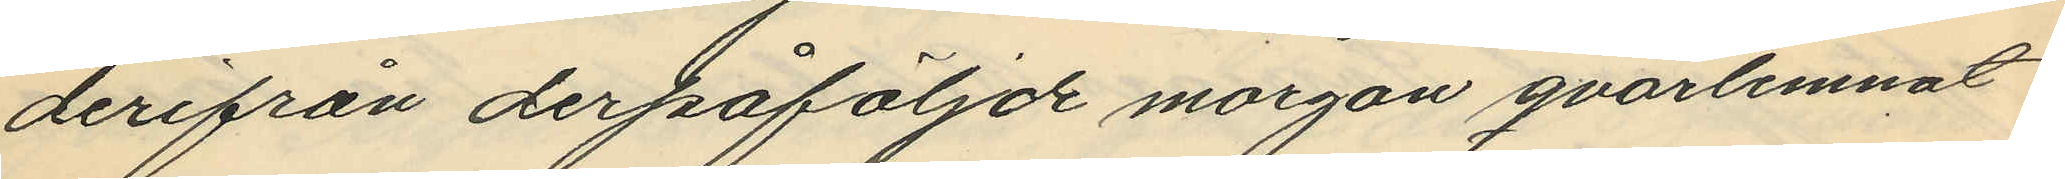derifrån derpåföljde morgon qvarlemnat
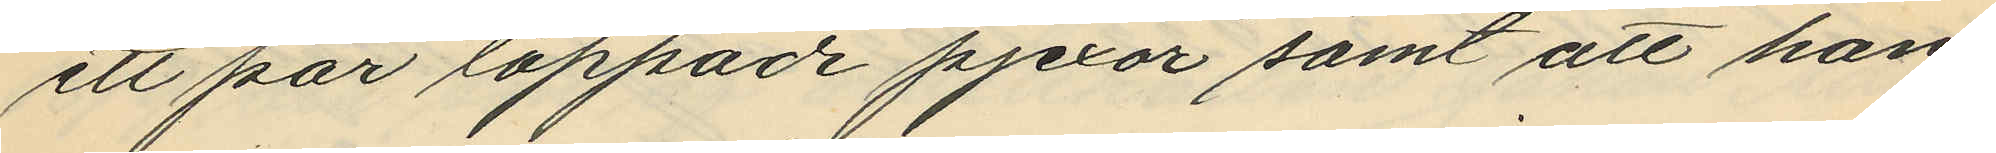ett par lappade pjexor samt att han
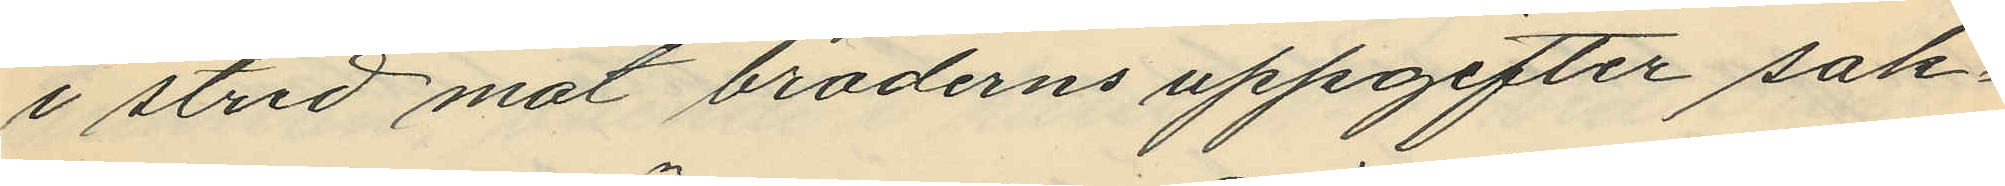i strid mot broderns uppgifter sak¬
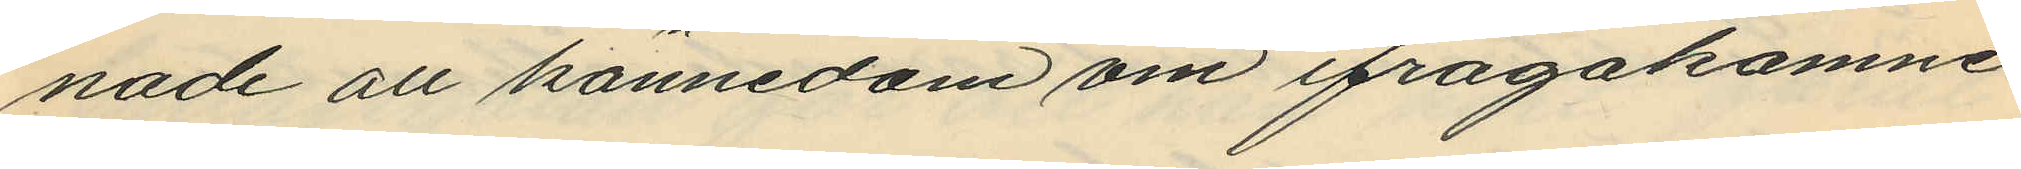nade all kännedom om ifrågakomne
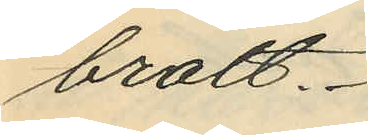brott.
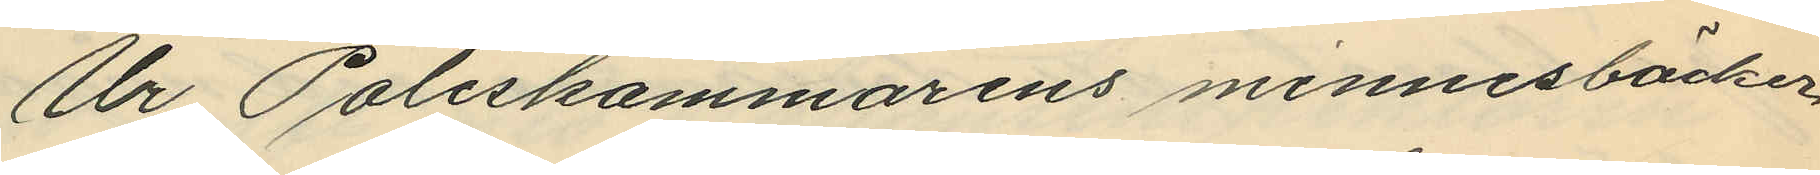Ur Poliskammarens minnesböcker
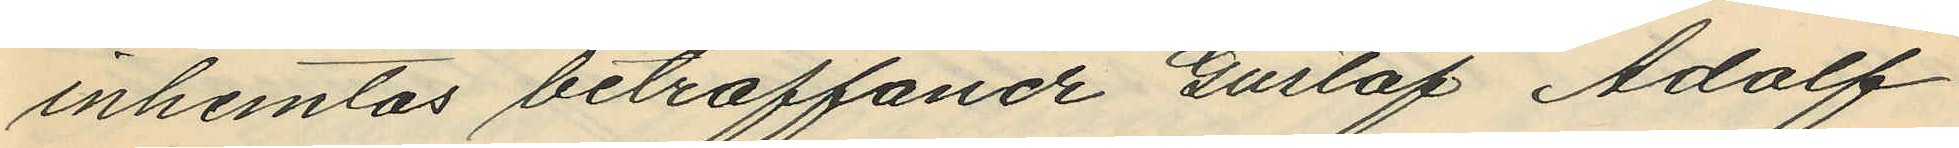inhemtas beträffande Gustaf Adolf
